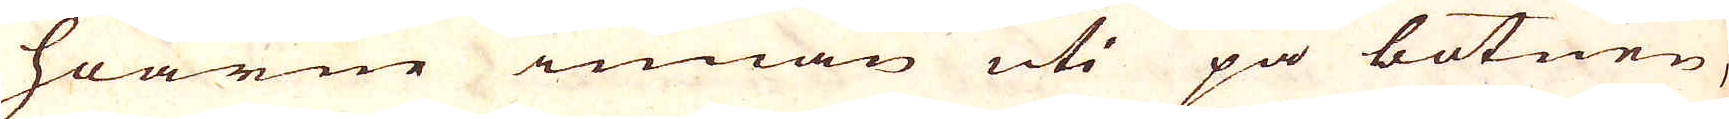hoarne innan uti på botnen,
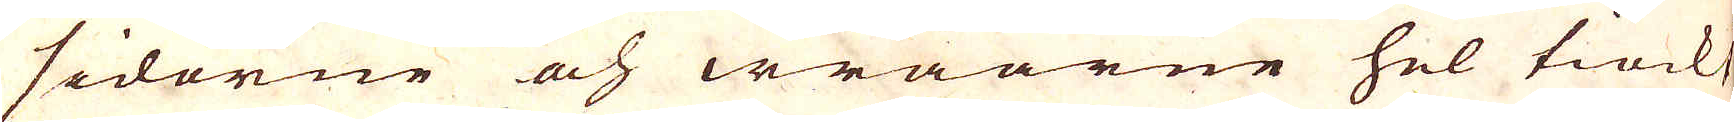sidorne och wråarne hel tiockt
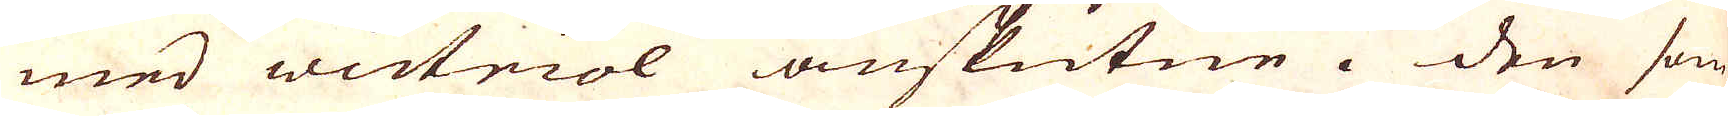med wictriol anskutne. Den som
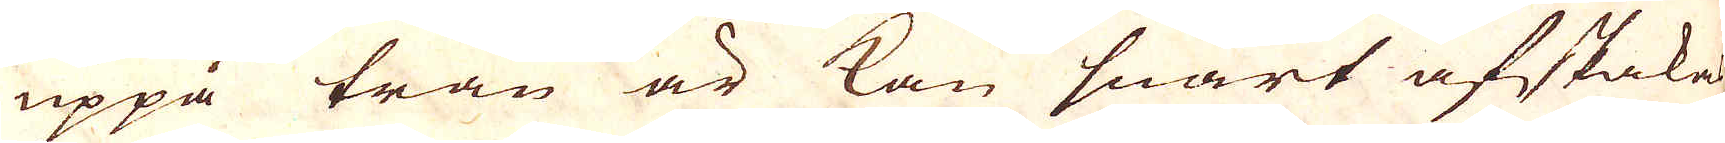uppå trän är kan snart afskakas
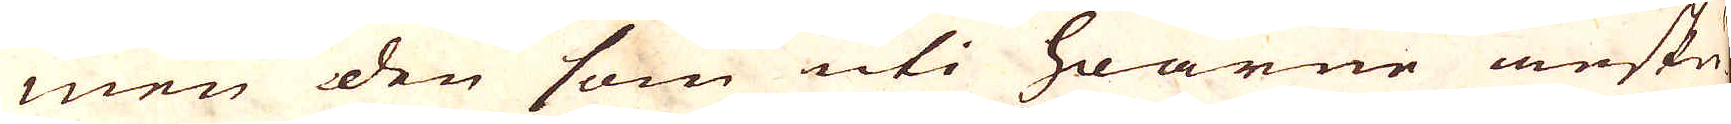men den som uti hoarne ansku-
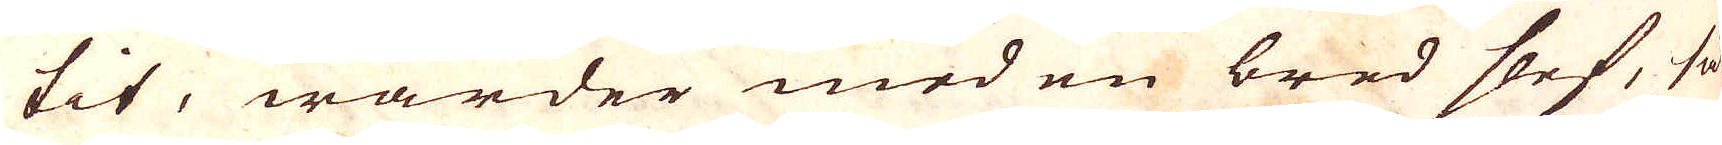tit, warder med en bred slef, så-
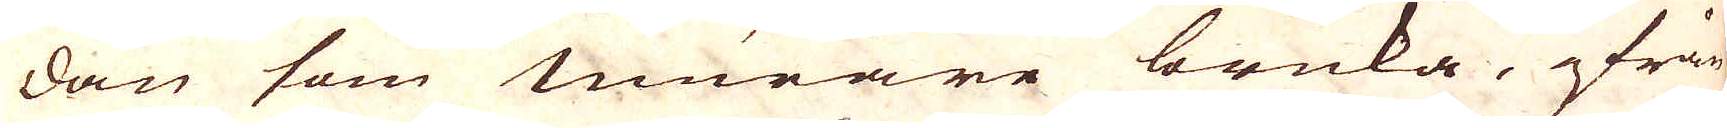dan som murare bruka, ifrär
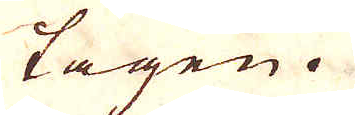tagen.
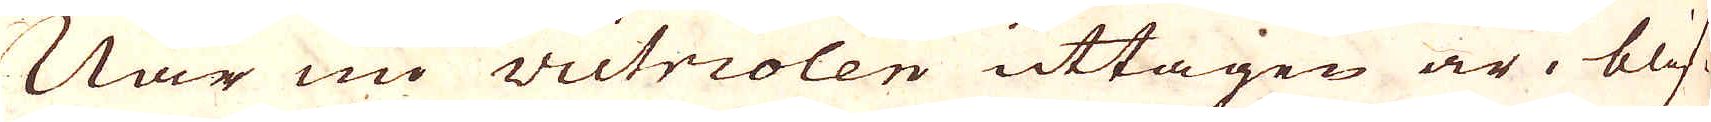När nu victriolen uttagen är, blif-
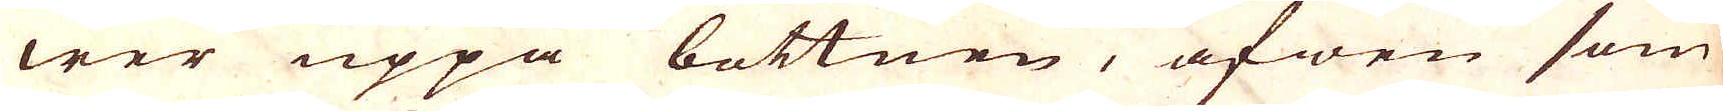wer uppå bottnen, äfwen som
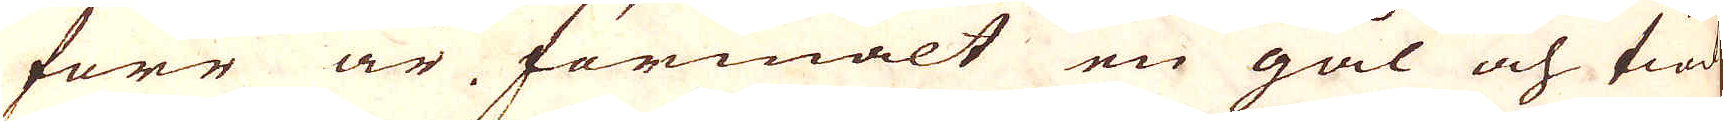förr är förmält en gål och tiod
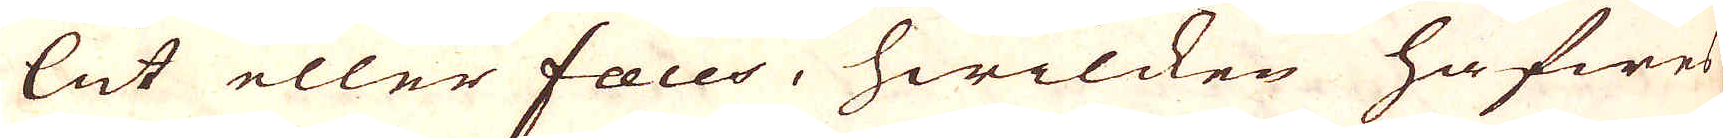lut eller faeces, hwilcken hafwes
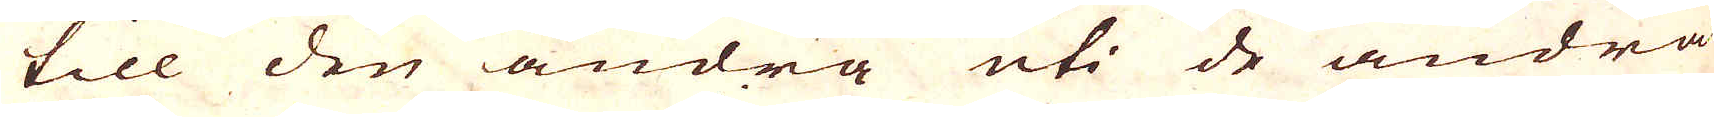till den andra uti de andra
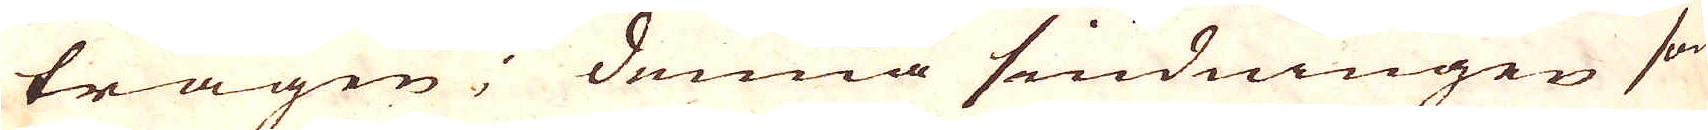trågen; denna siudningen som
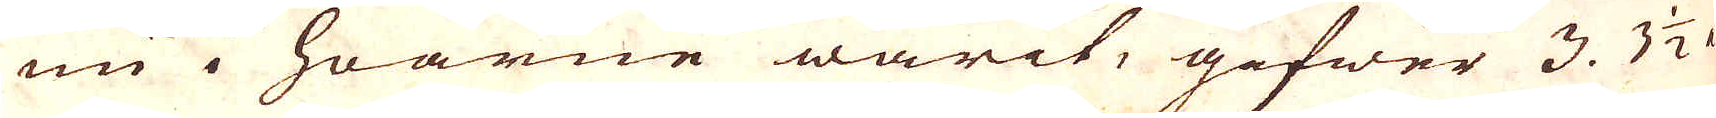nu i hoarne warit, gifwer 3. 3 1/2 a
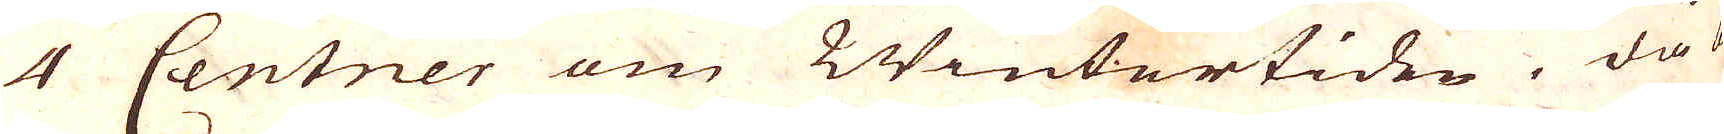4 Centner om Wintertiden. då be-
